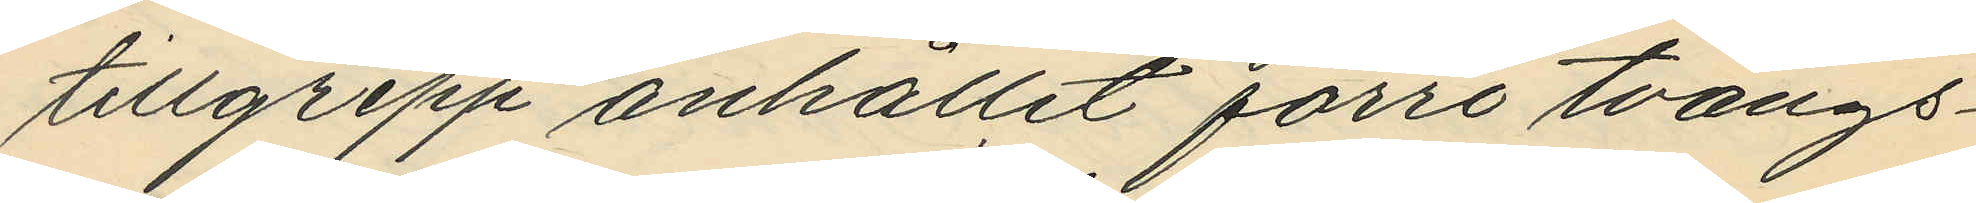tillgrepp anhållit förre tvångs¬
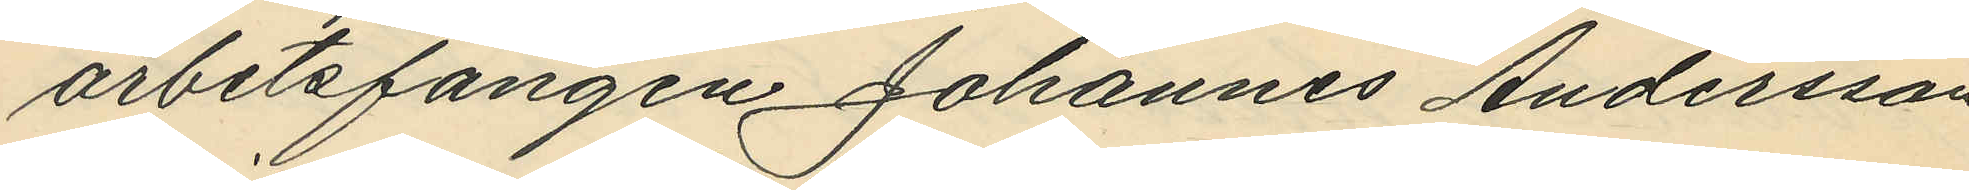arbetsfången Johannes Andersson
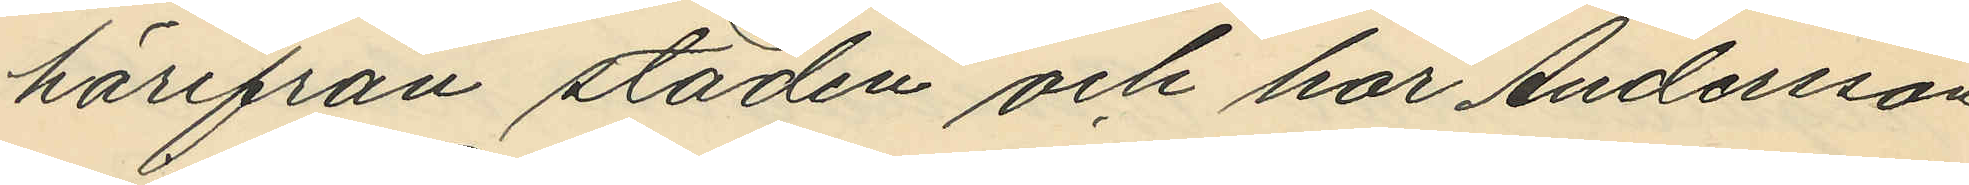härifrån staden och har Andersson
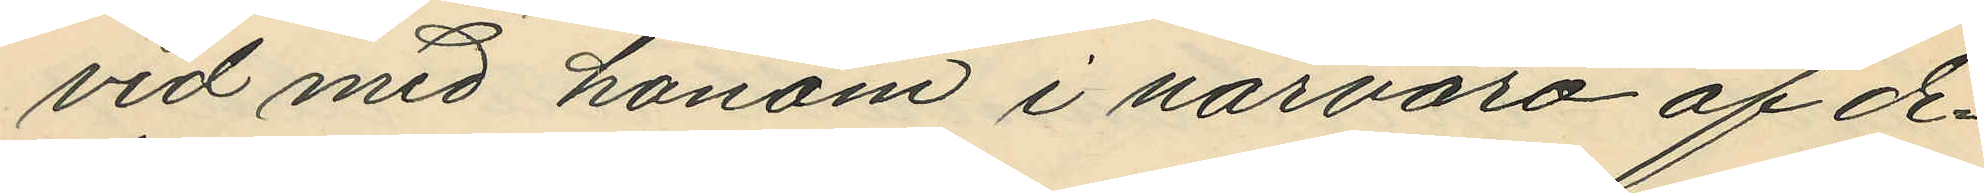vid med honom i närvaro af de¬
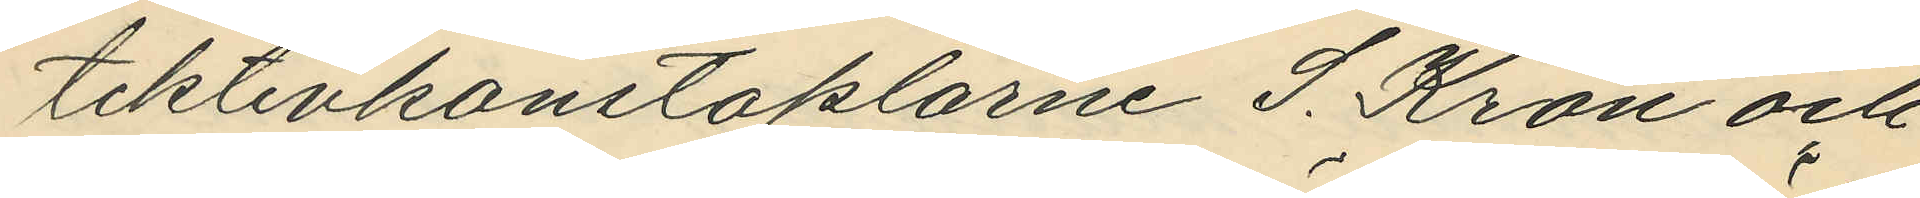tektivkonstaplarne S. Kron och
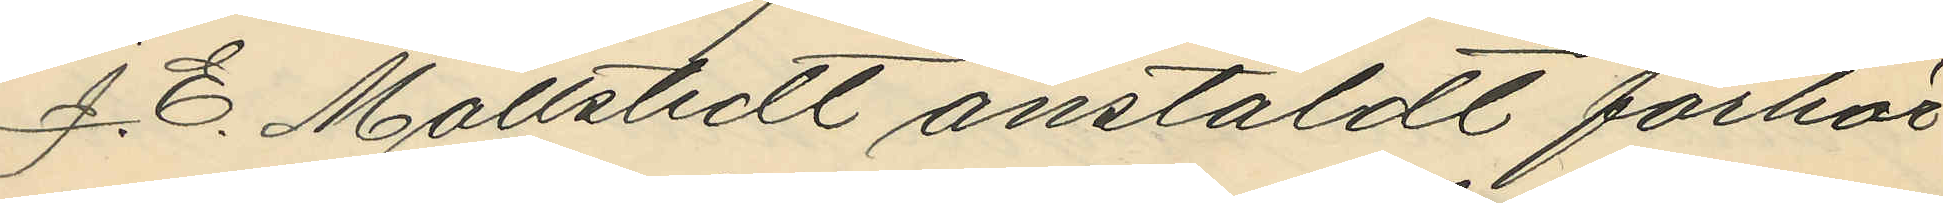J. E. Mollstedt anstäldt förhör
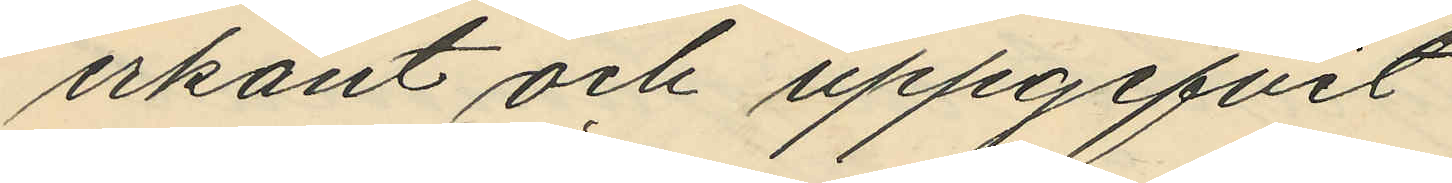erkänt och uppgifvit
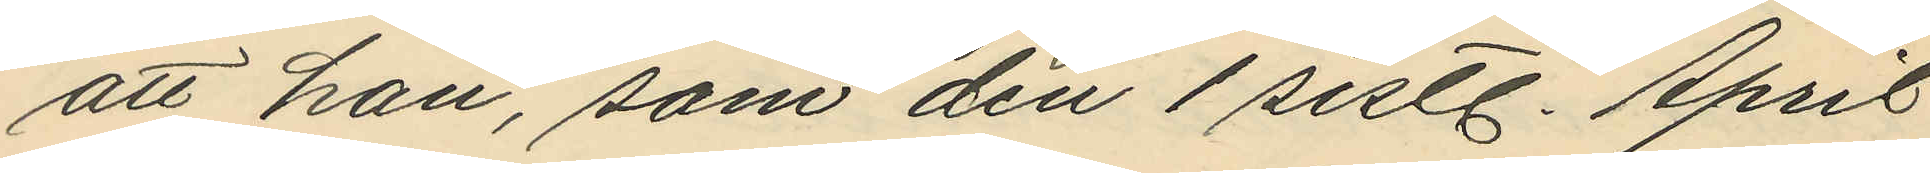att han, som den 1 sistl. April
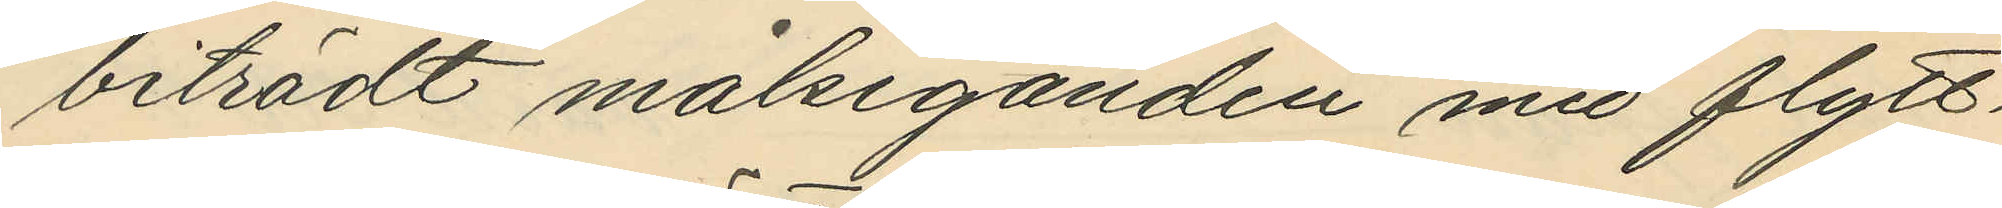biträdt målseganden med flytt¬
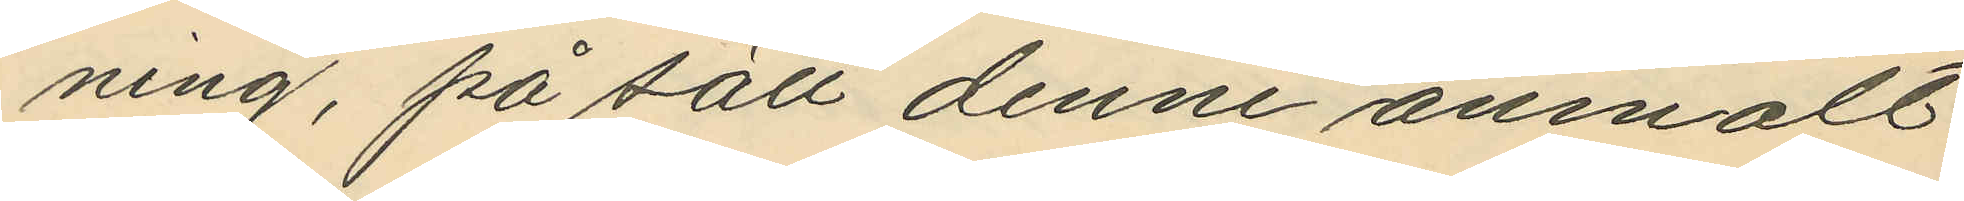ning, på sätt denne anmält,
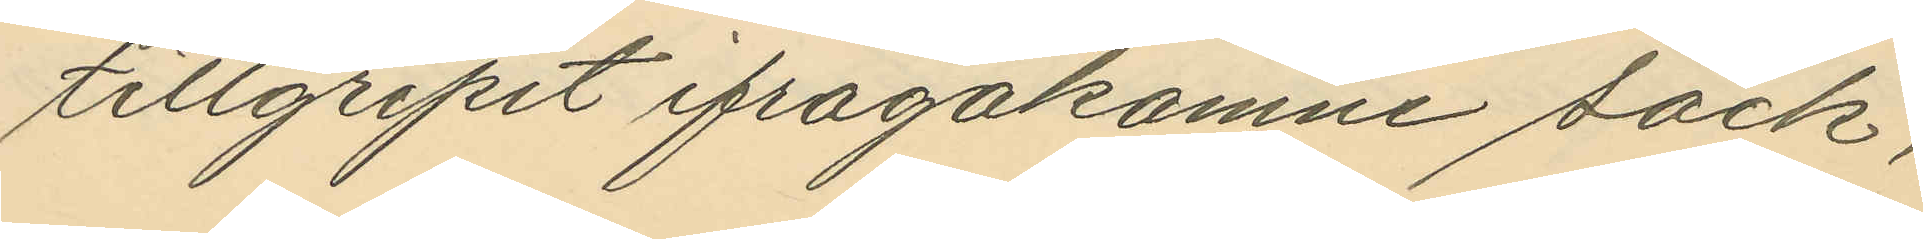tillgripit ifrågakomne säck,
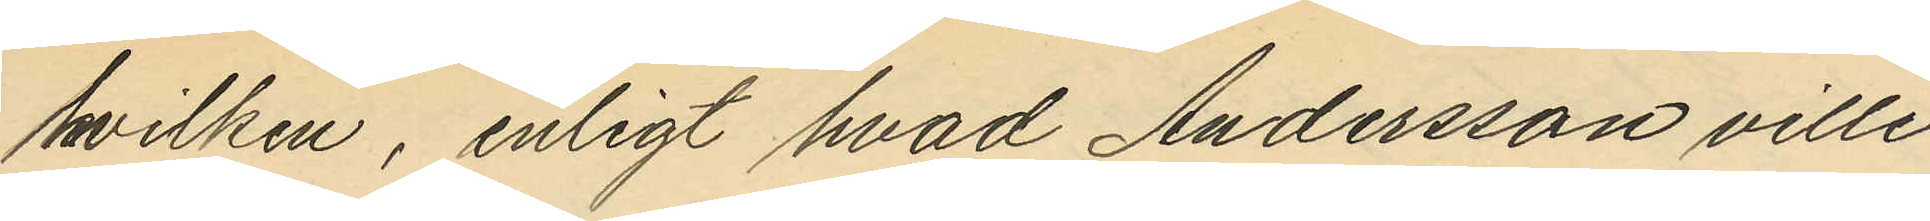hvilken, enligt hvad Andersson ville
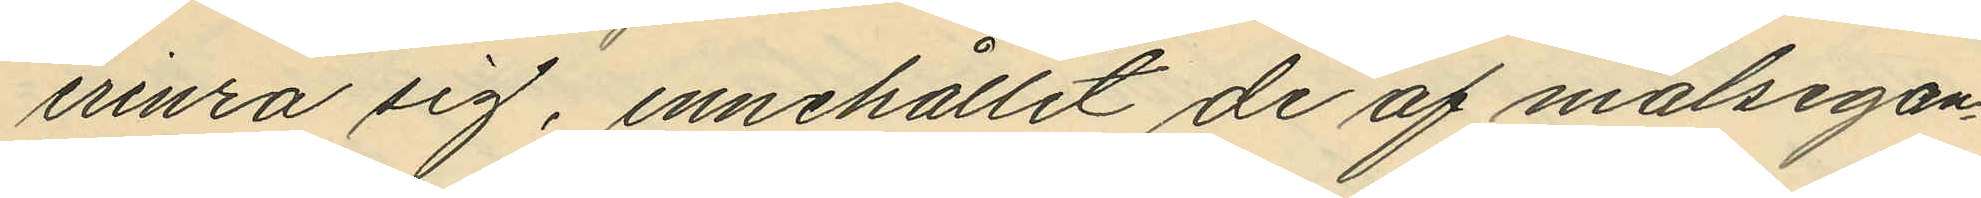erinra sig, innehållit de af målsegan¬
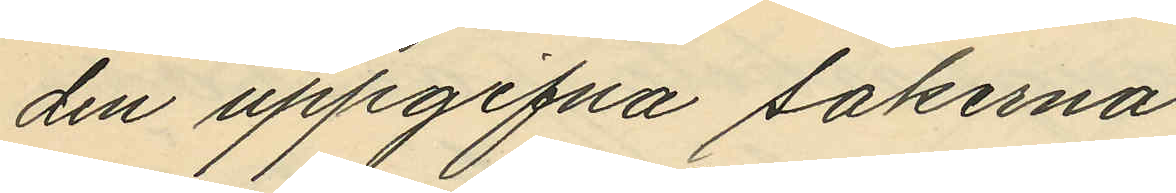den uppgifna sakerna,
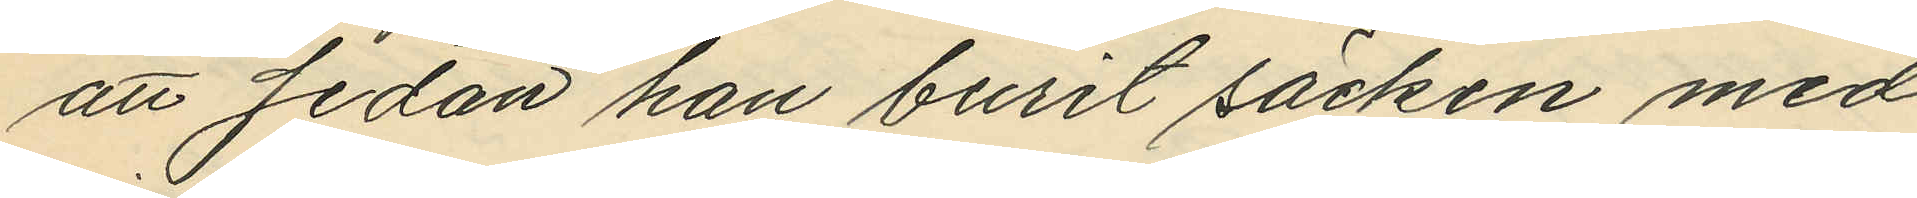att sedan han burit säcken med
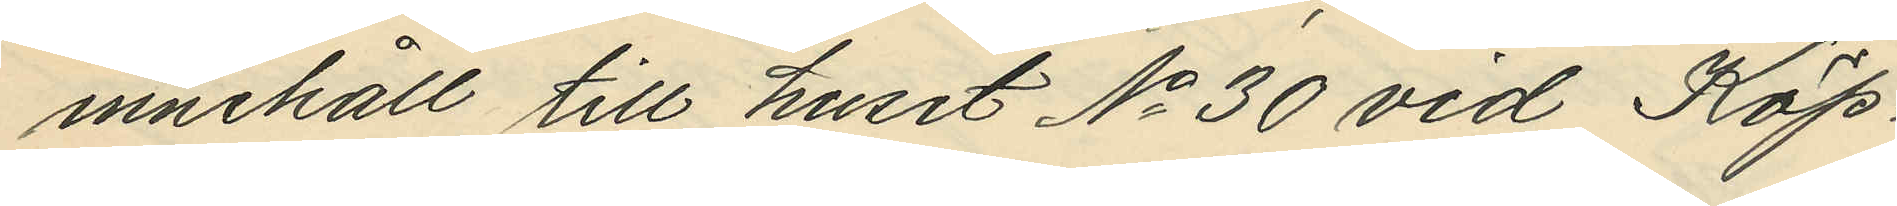innehåll till huset No 30 vid Köp¬
